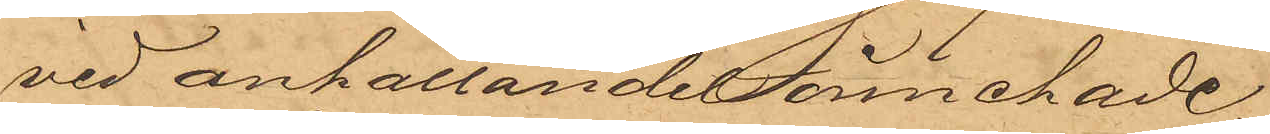vid anhållandet innehade.
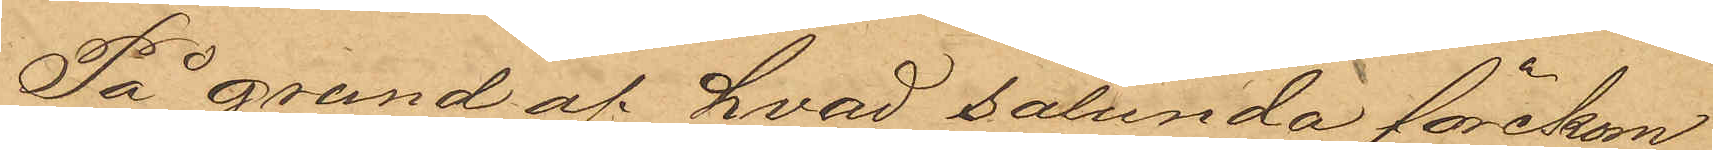På grund af hvad sålunda förekom¬
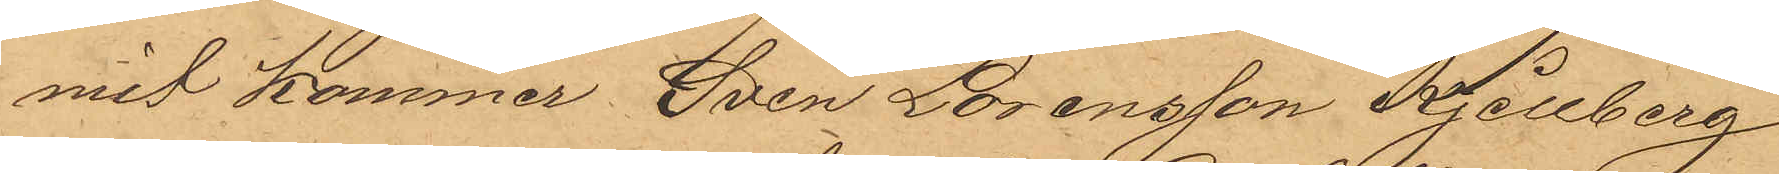mit kommer Sven Lorensson Kjellberg
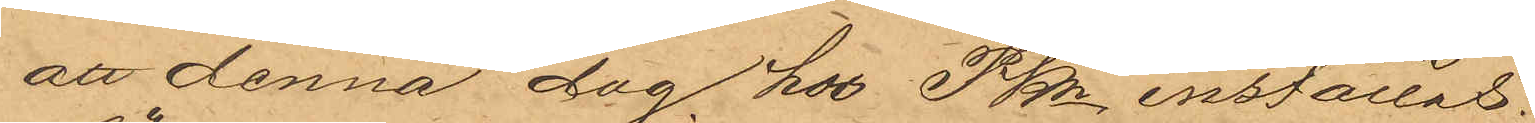att denna dag hos PKn inställas.
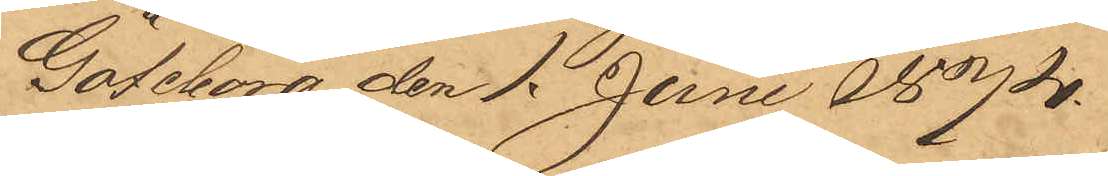Göteborg den 1. Juni 1874.
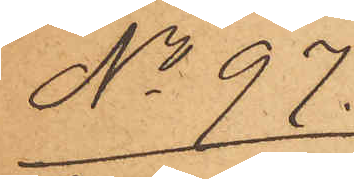No 97.
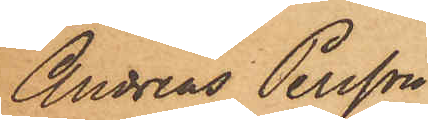Andreas Persson
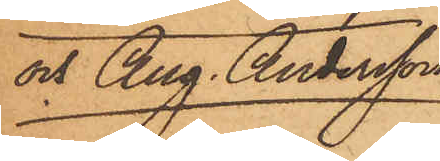och Aug. Andersson
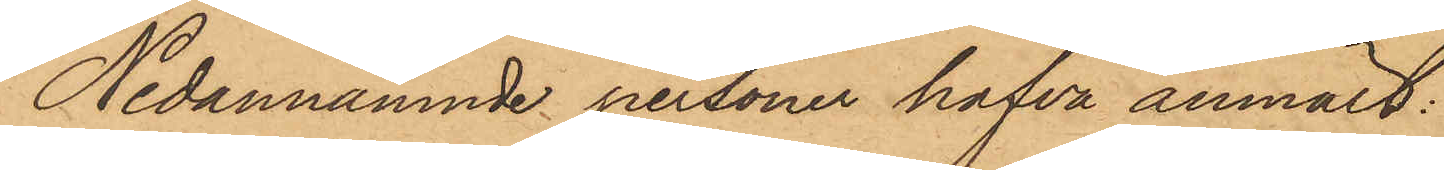Nedannämnde personer hafva anmält:
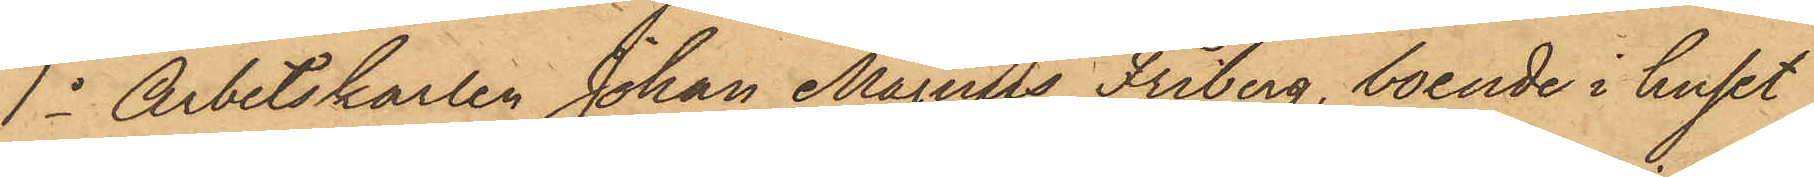1o Arbetskarlen Johan Magnus Friberg, boende i huset
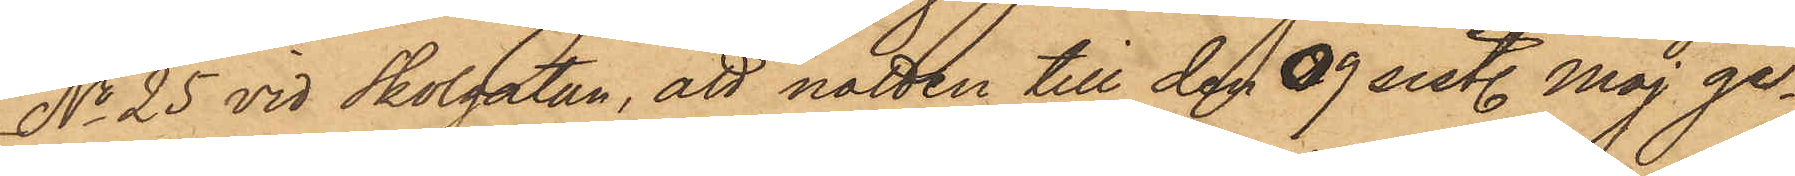No 25 vid Skolgatan, att natten till den 9 sist. Maj ge¬
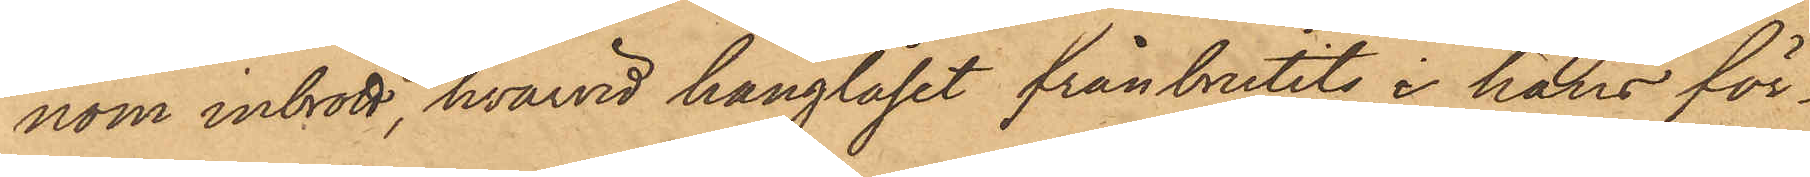nom inbrott, hvarvid hänglåset frånbrutits, i hans för¬
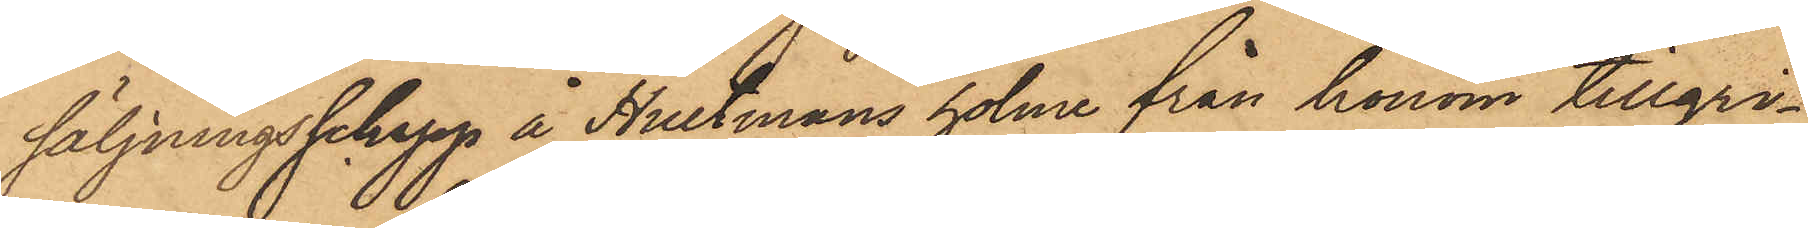säljningsschapp å Hultmans holme från honom tillgri¬
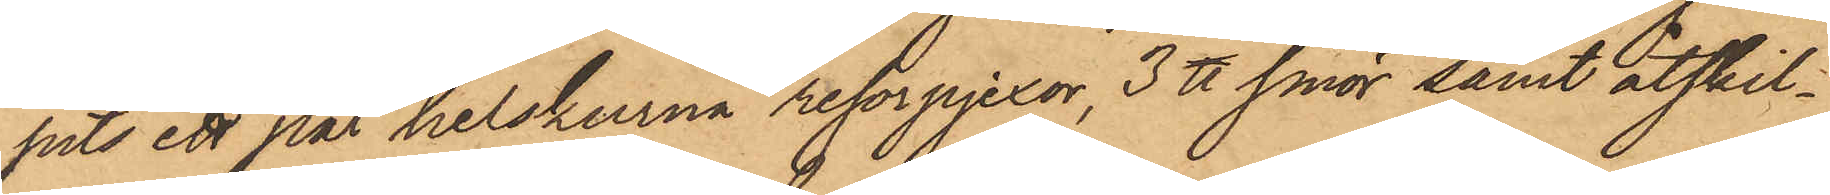pits ett par helskurna resorpjexor, 3 ℔ smör samt åtskil¬
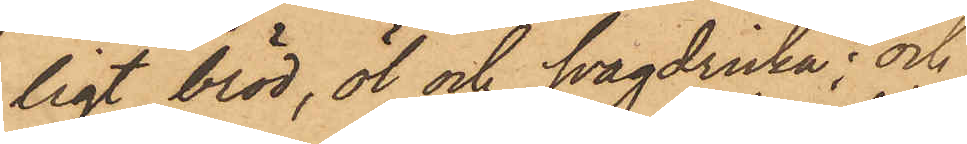ligt bröd, öl och svagdricka; och
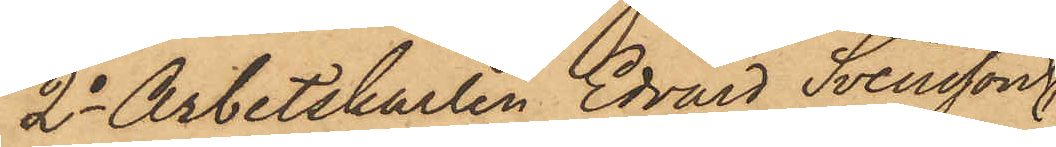2o Arbetskarlen Edvard Svensson,
